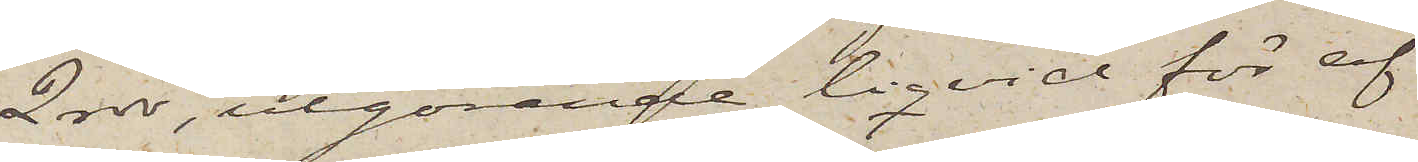2 rdr, utgörande liqvid för af
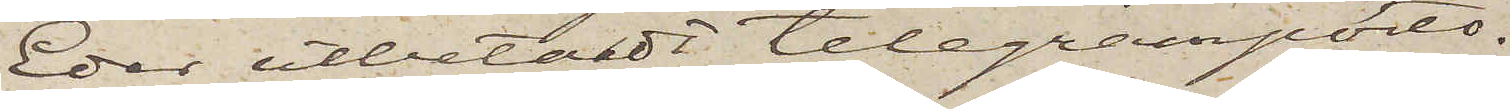Eder utbetalt telegramporto.
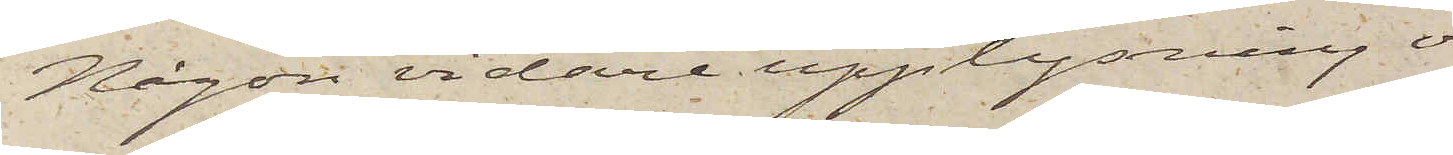Någon vidare upplysning om,
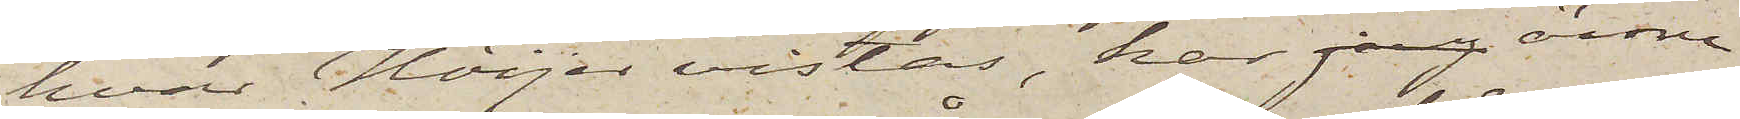hvar Höijer vistas, har jag ännu
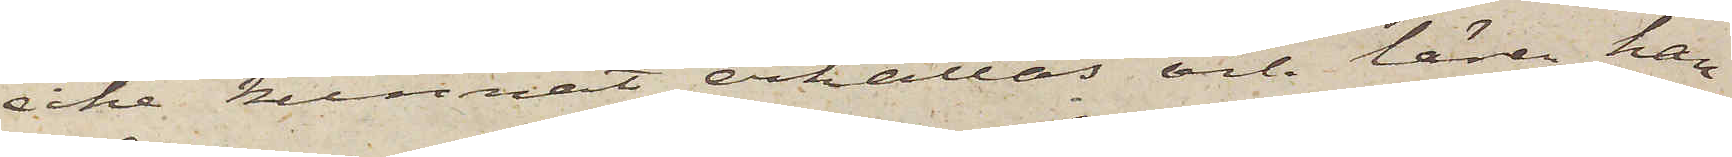icke kunnat erhållas och lärer han
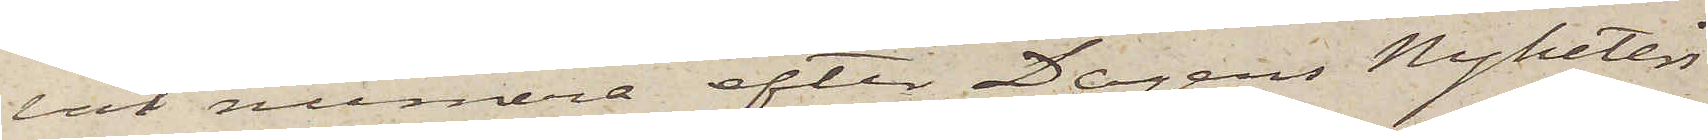väl numera efter Dagens Nyheters
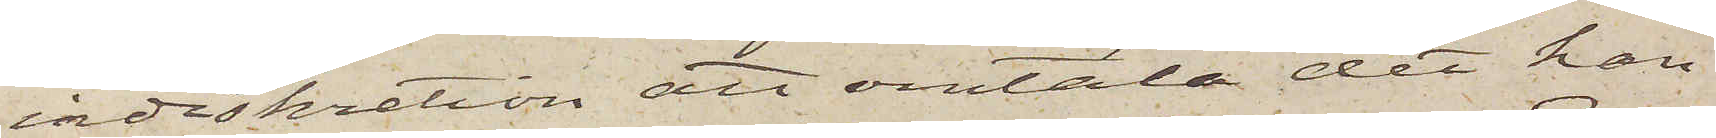indiskretion att omtala det han
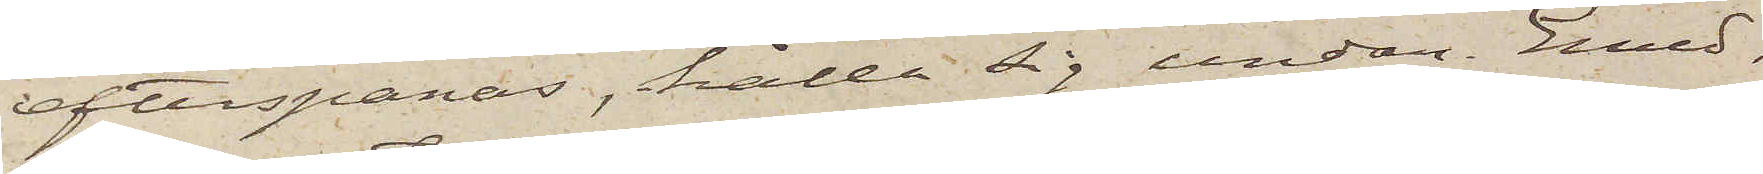efterspanas, hålla sig undan. Emed¬
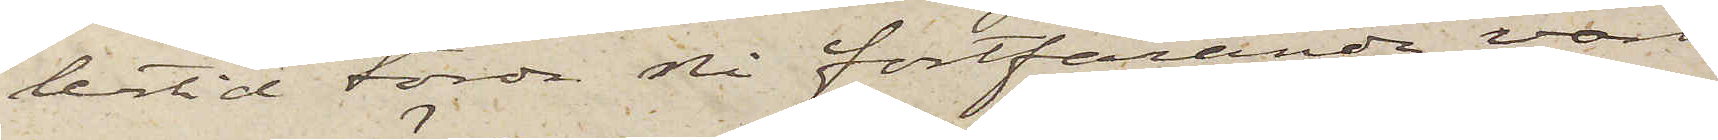lertid torde Ni fortfarande vara
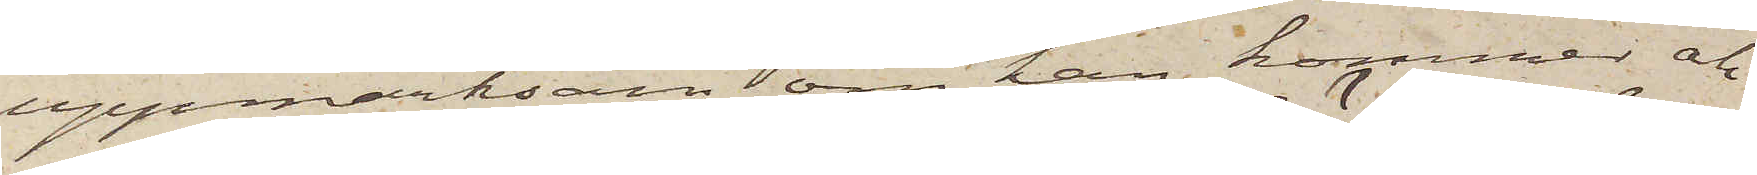uppmärksam om han kommer och
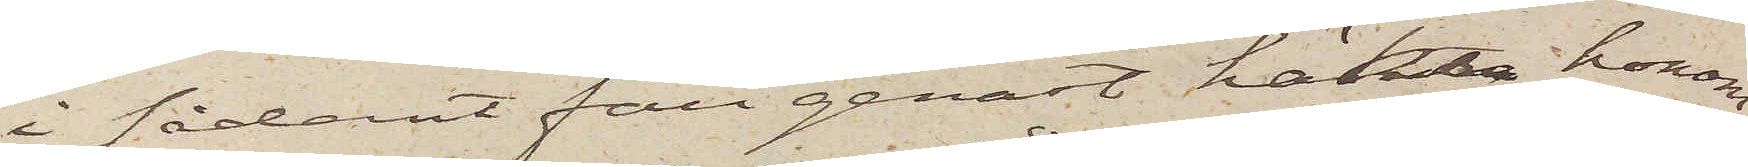i sådant fall genast häkta honom,
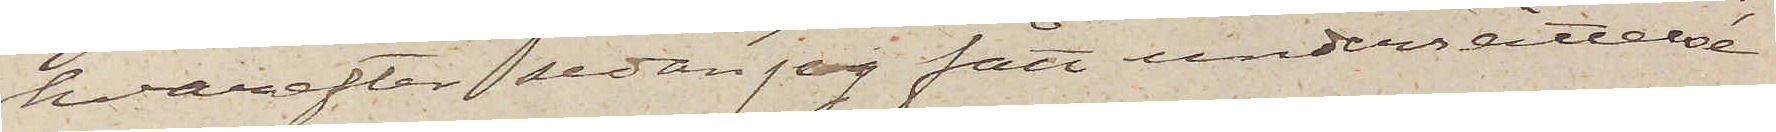hvarefter sedan jag fått underrättelse
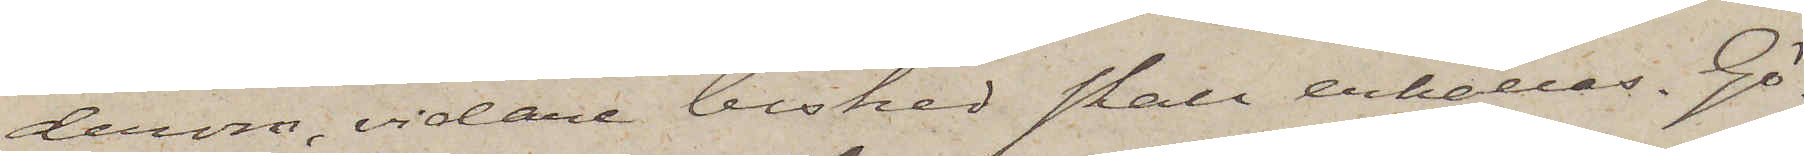derom, vidare besked skall erhållas. Gö¬
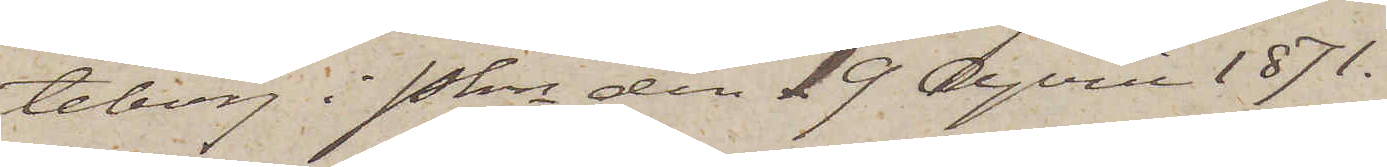teborg i Pkn den 19 April 1871.
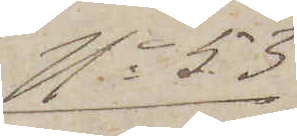No 53
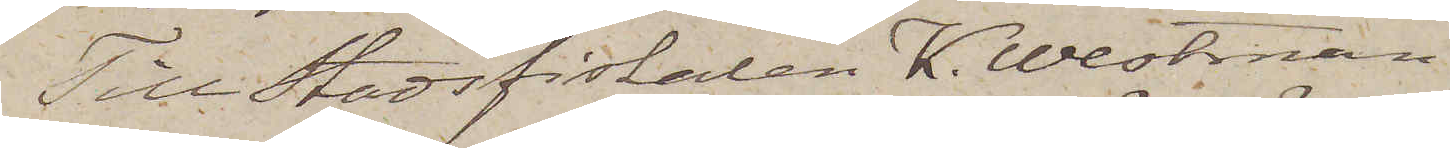Till Stadsfiskalen K. Westman
